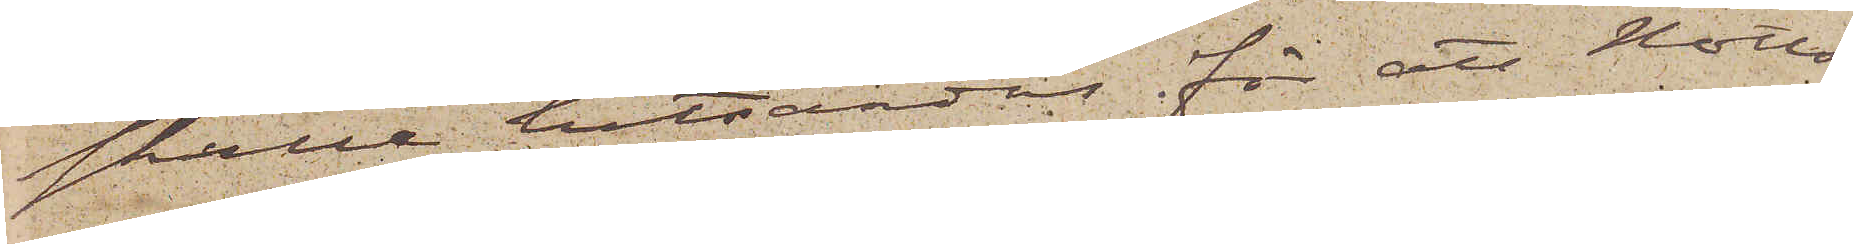skulle hitsändas för att Notto¬
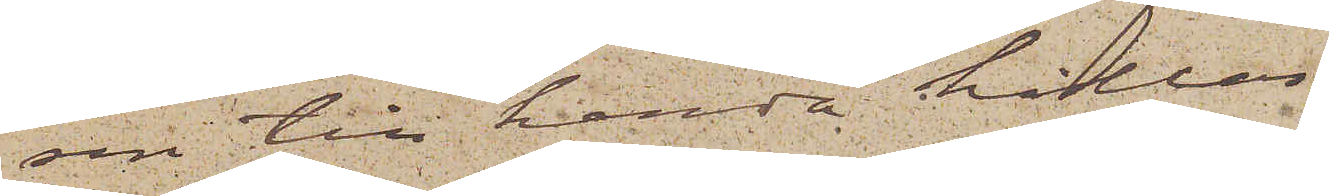sen till handa hållas.
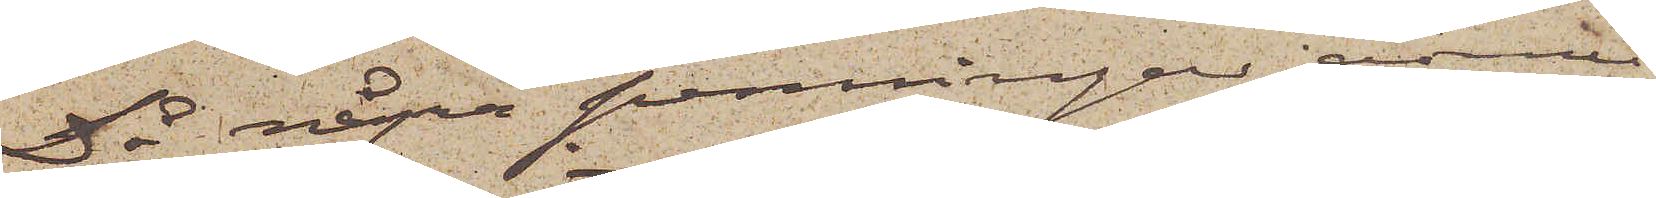Då några penningar ännu
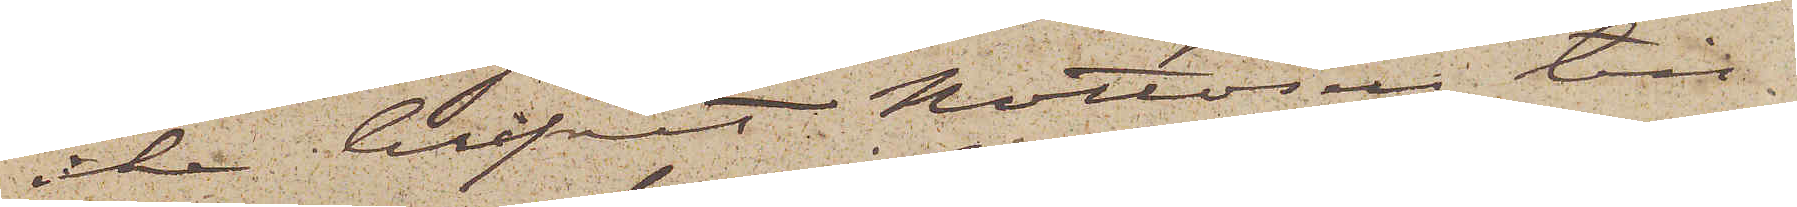icke blifvit Nottosen till¬
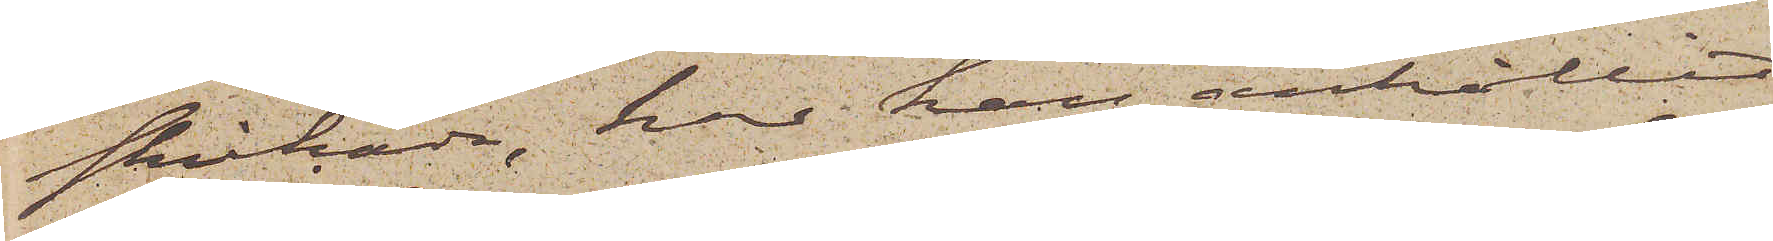skickade, har han anhållit
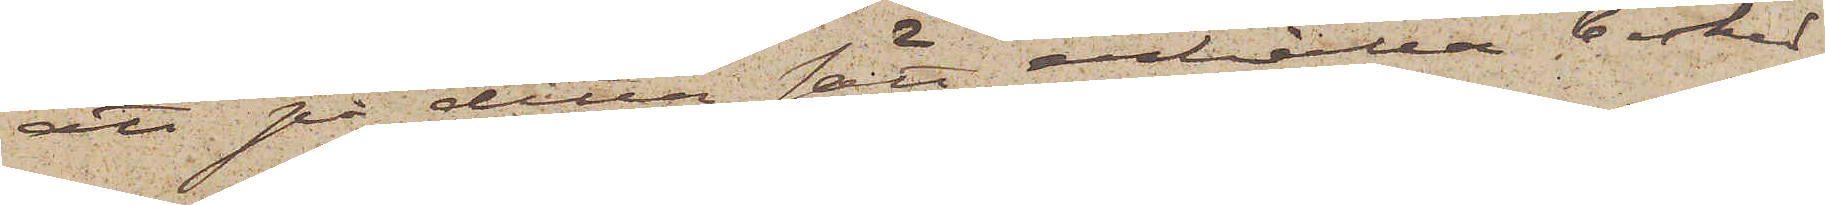att på detta sätt erhålla besked
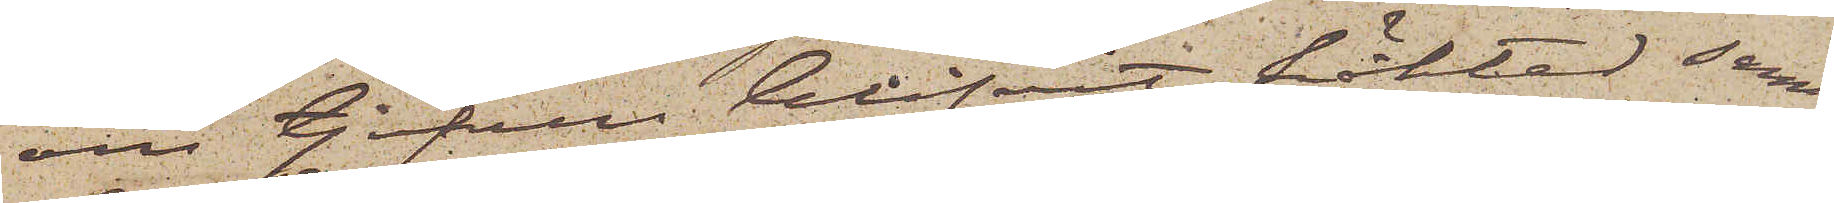om tjufven blifvit häktad samt
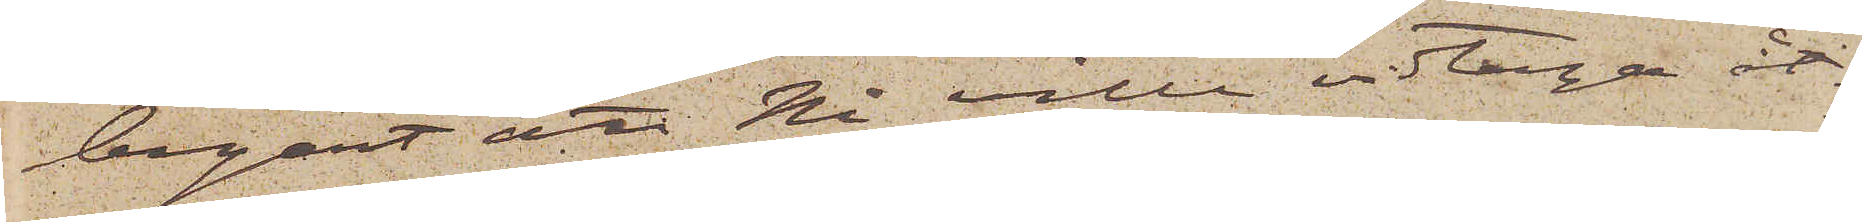begärt att Ni ville vidtaga åt¬
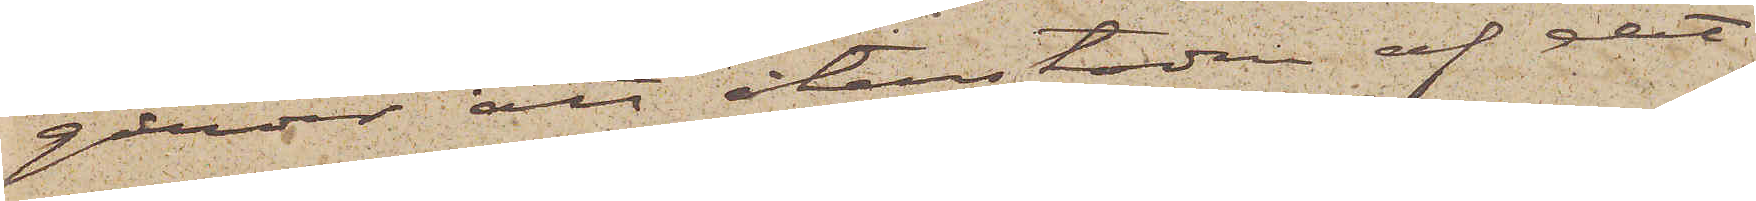gärder att återstoden af det
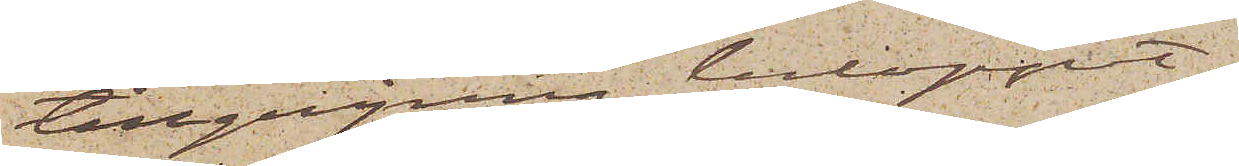tillgripne beloppet
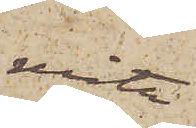måtte
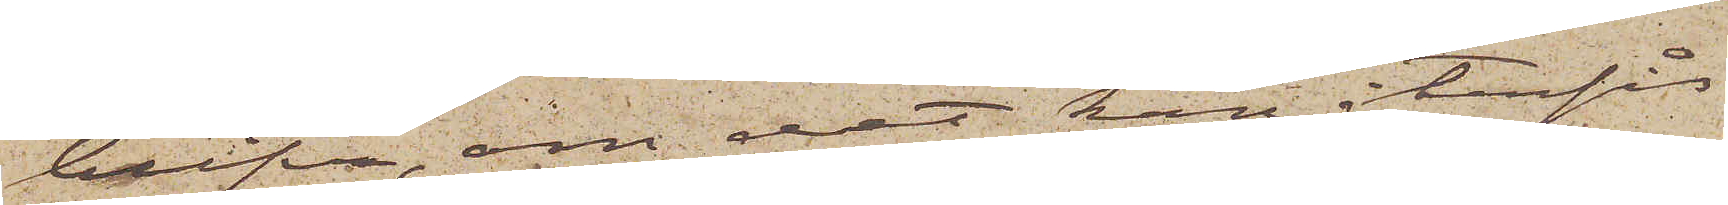blifva, om det kan återfås
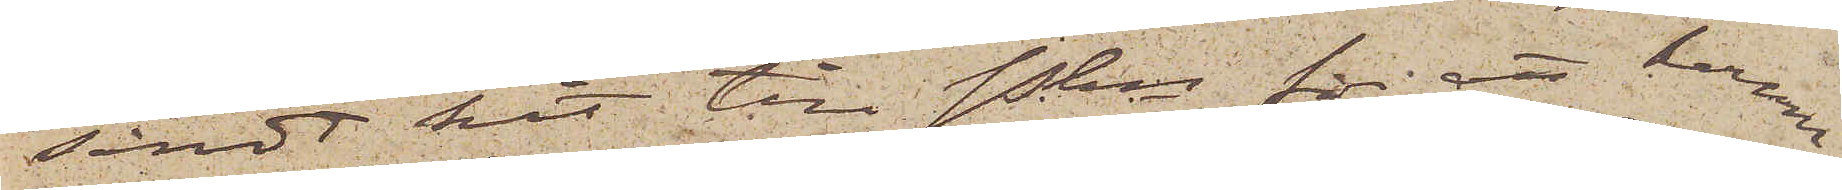sändt hit till Pkn för att honom
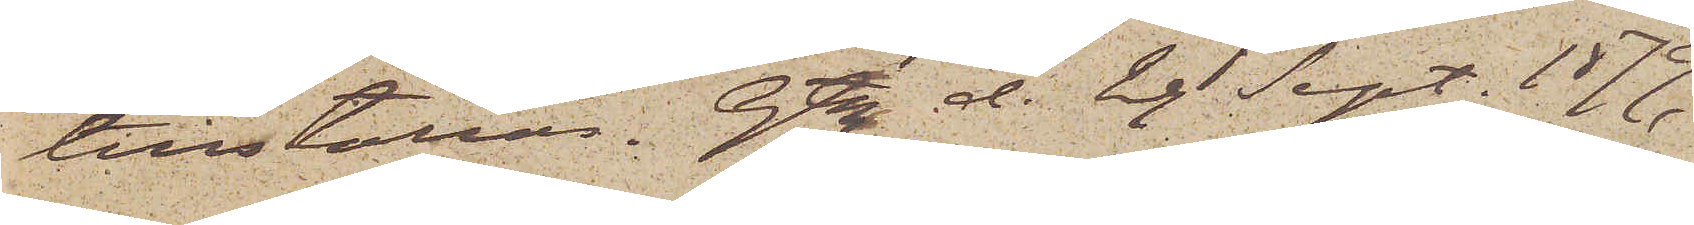tillställas. Gtbg den 29 Sept. 1879.
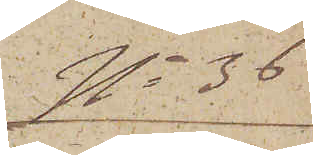No 36
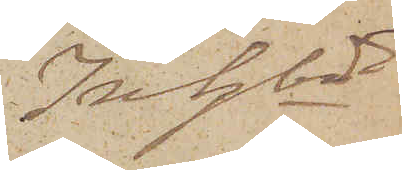Inhbd
